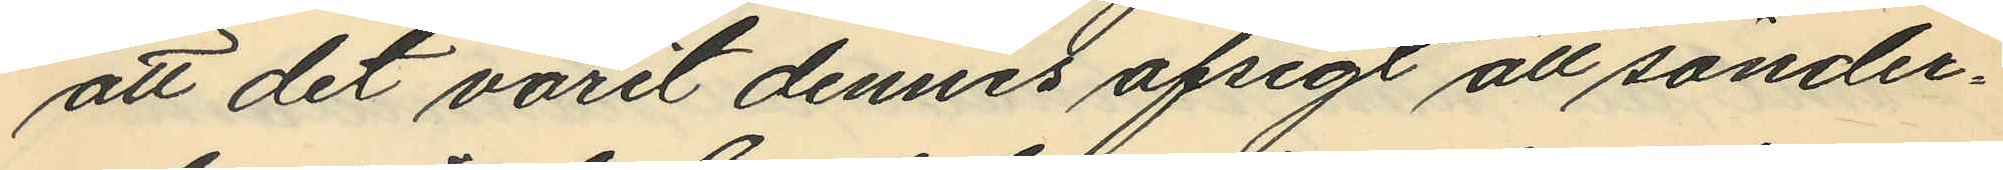att det varit dennes afsigt att sönder¬
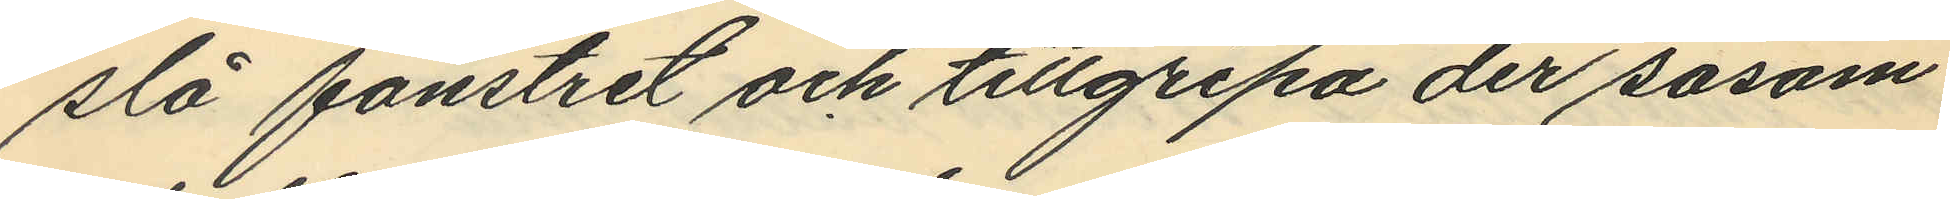slå fönstret och tillgripa der såsom
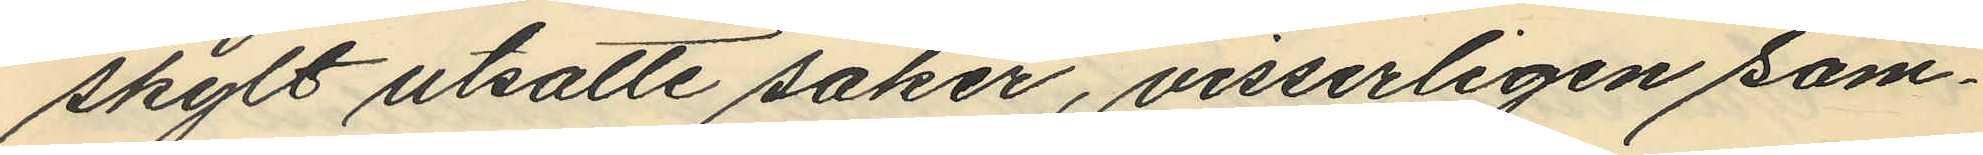skylt utsatte saker, visserligen sam¬
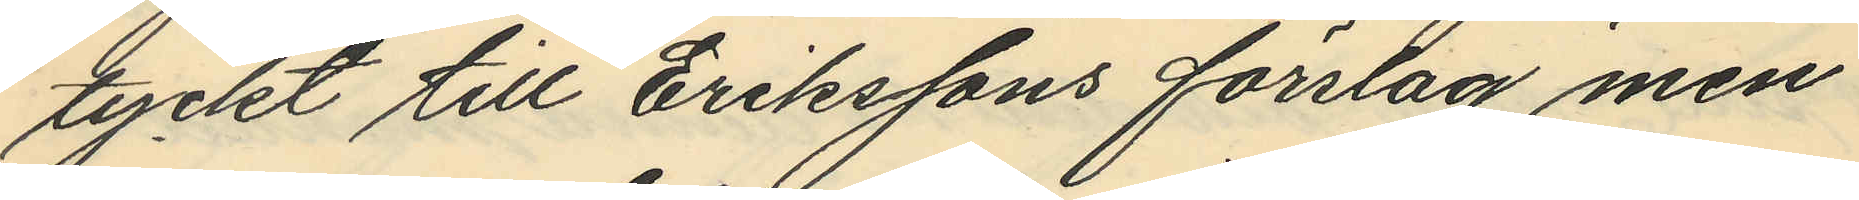tyckt till Erikssons förslag men
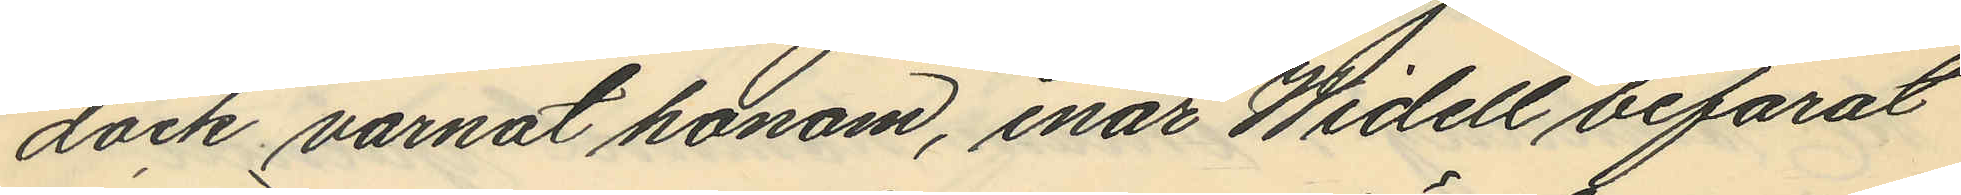dock varnat honom, enär Widell befarat
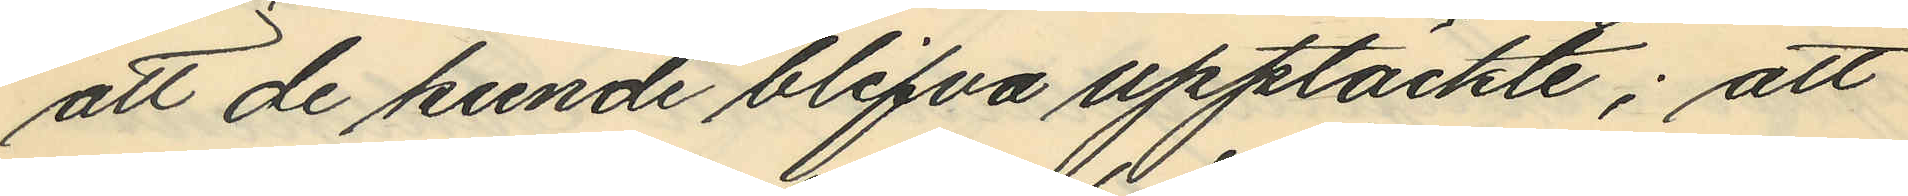att de kunde blifva upptäckte; att
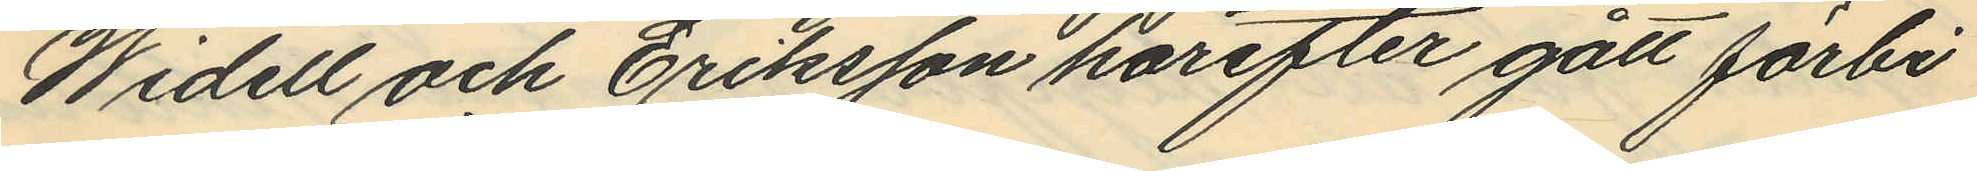Widell och Eriksson härefter gått förbi
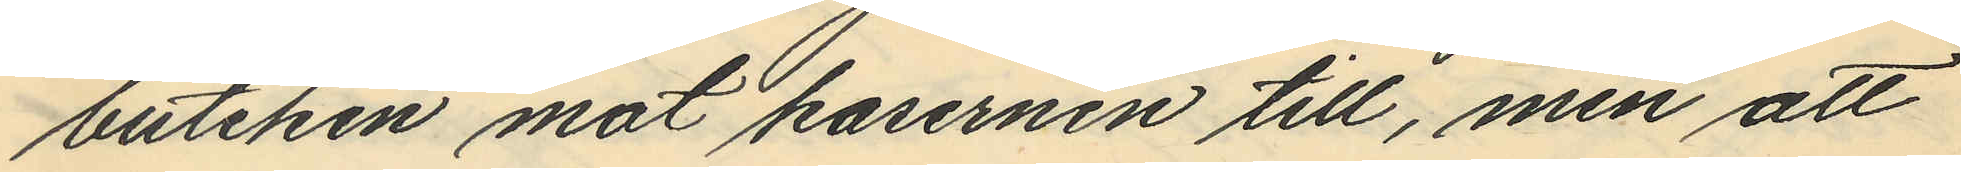butiken mot kasernen till, men att
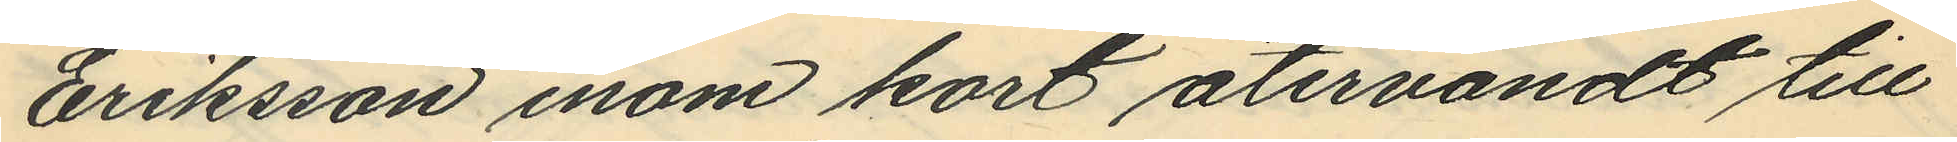Eriksson inom kort återvändt till
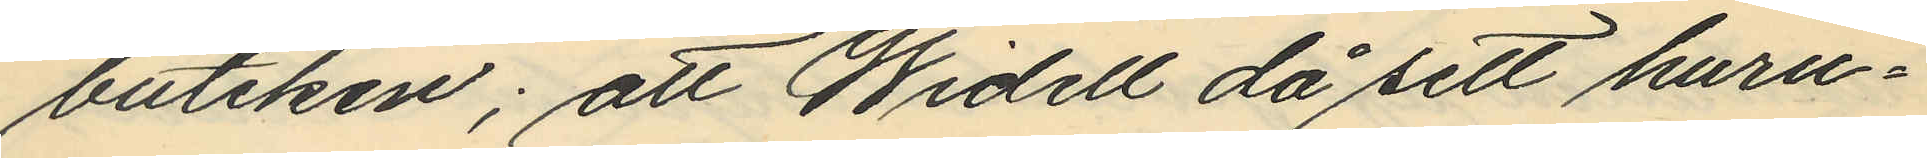butiken; att Widell då sett huru¬
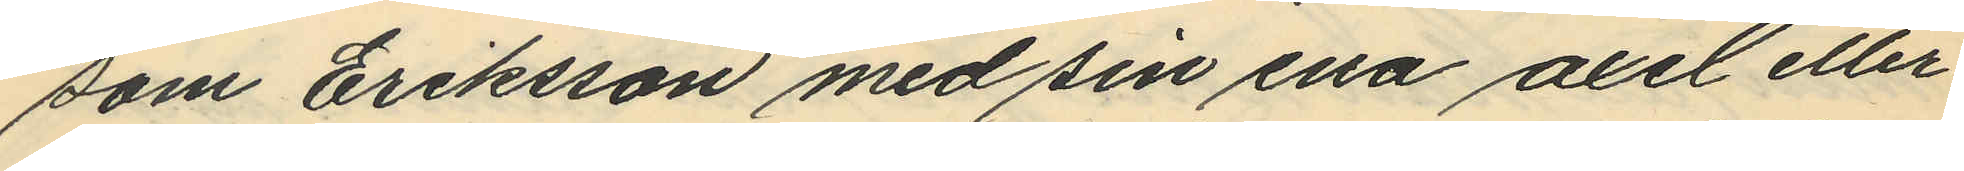som Eriksson med sin ena axel eller
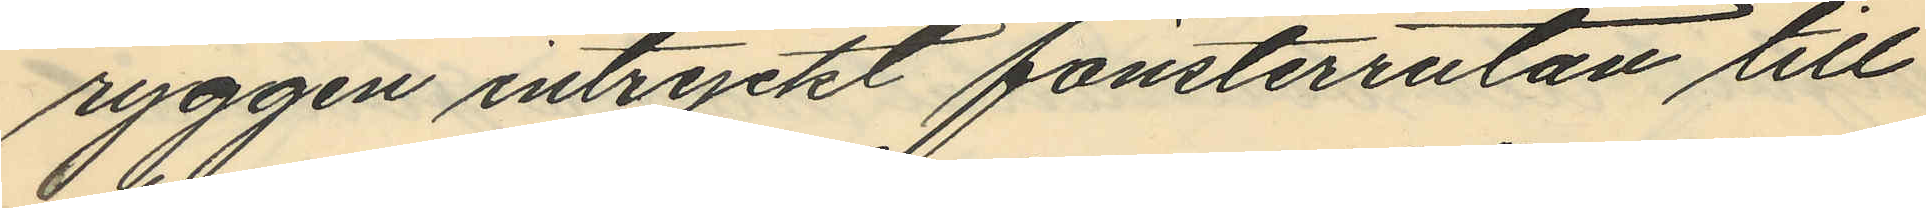ryggen intryckt fönsterrutan till
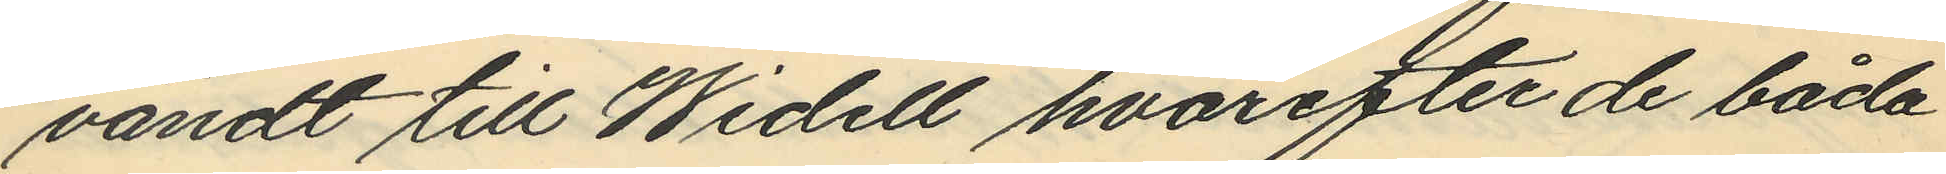vändt till Widell hvarefter de båda
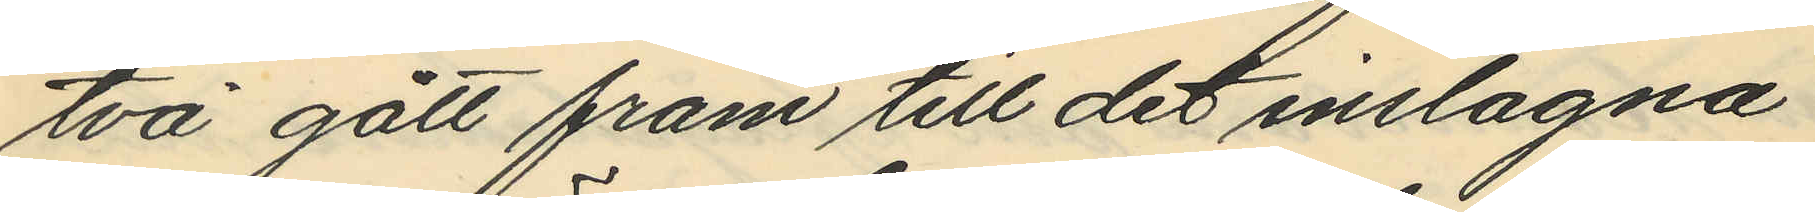två gått fram till det inslagna
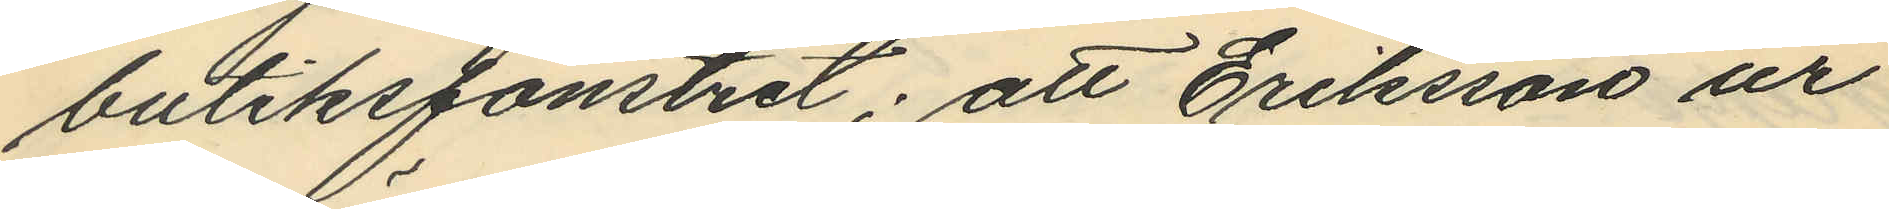butiksfönstret; att Eriksson ur
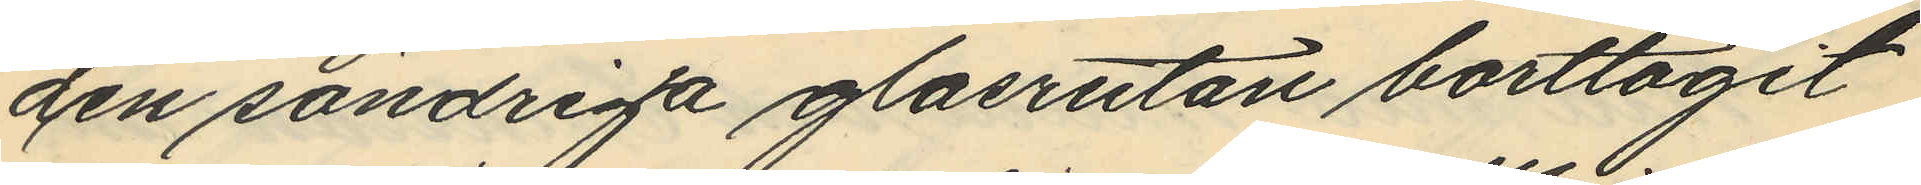den söndriga glasrutan borttagit
